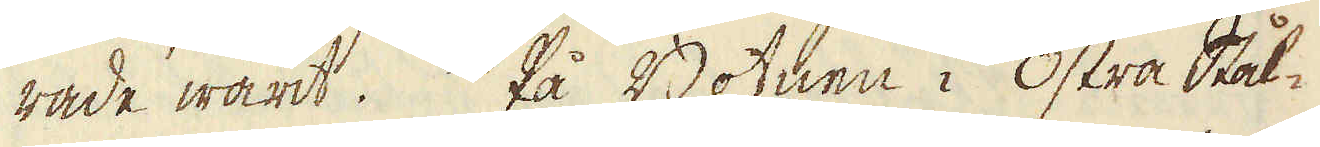rade warit. På Botnen i Östra Stål-
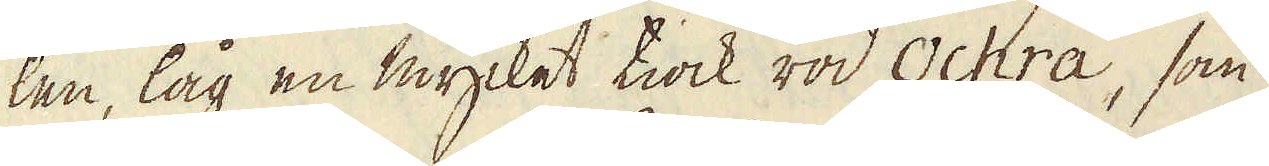len, låg en mycket tiock röd Ochra, som
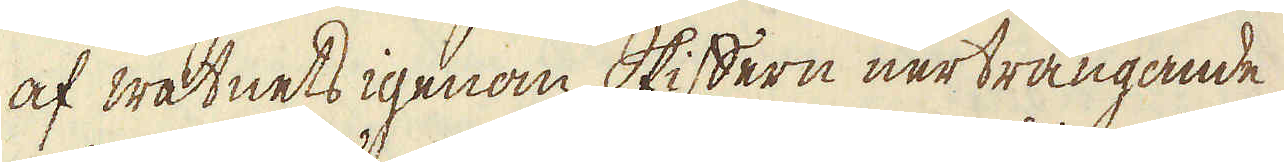af watnets igenom skiffern nerträngande
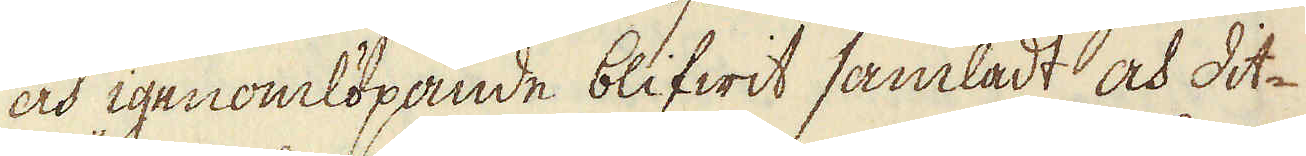och igenomlöpande blifwit samladt och dit-
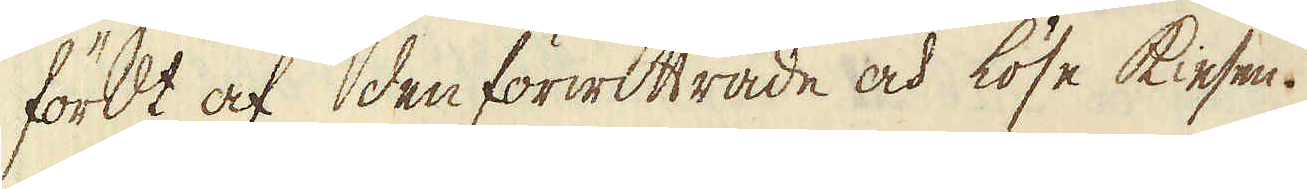fördt af den förwittrade och löse Kiesen.
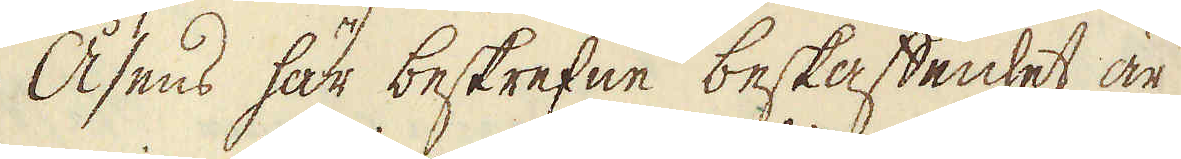Åsens här beskrefne beskaffenhet är
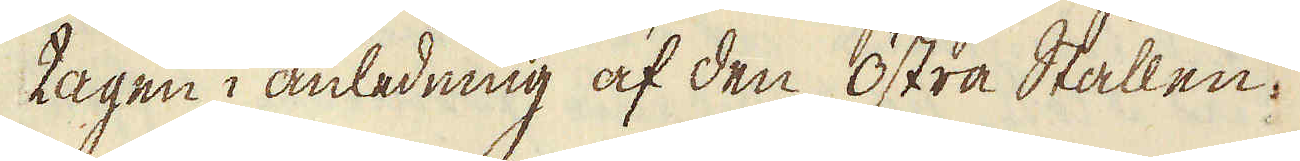tagen i anledning af den Östra Stållen.
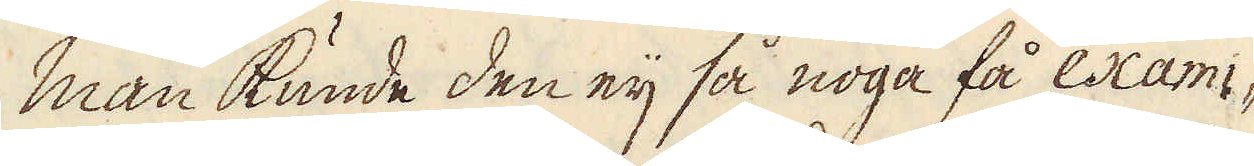Man kunde den eij så noga få exami-
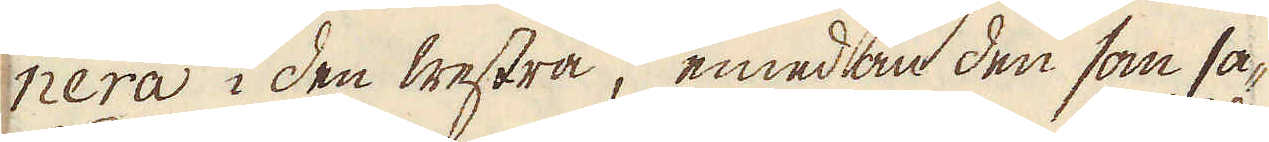nera i den Westra, emedan den som sa-
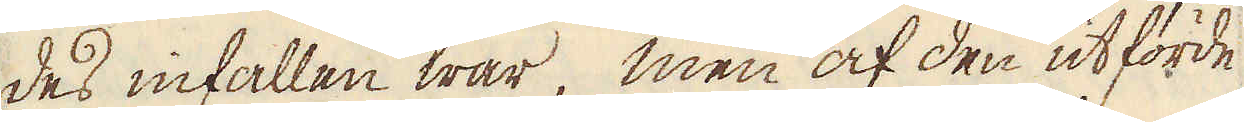des infallen war, men af den utförde
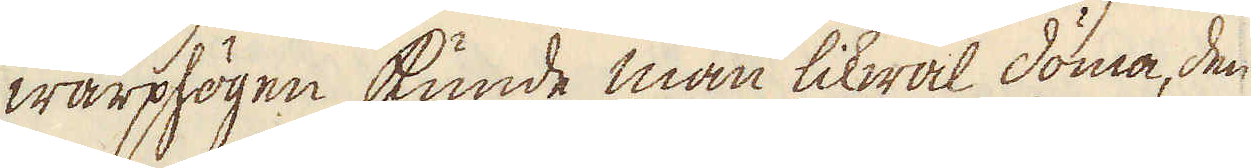warphögen kunde man likwäl döma, den
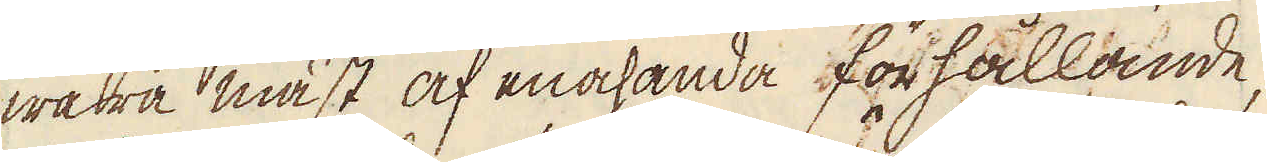wara mäst af enahanda förhållande,
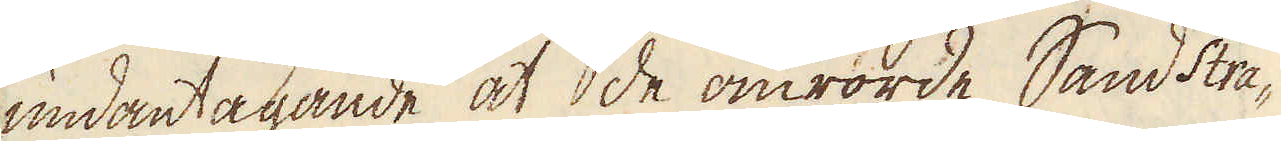undantagande at de omrörde Sand Stra-
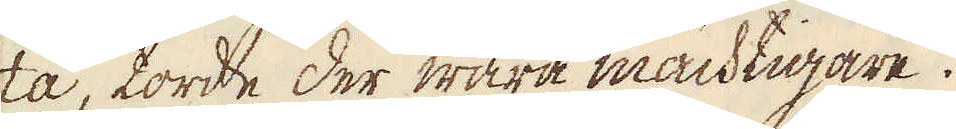ta, torde der wara mächtigare.
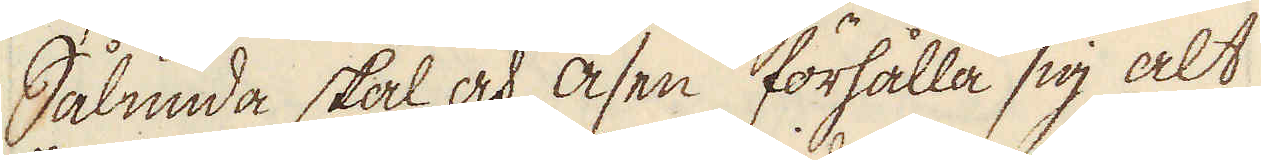Sålunda skal och Asen förhålla sig alt
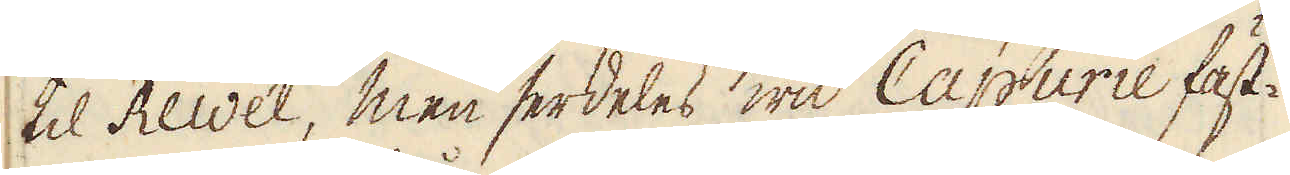til Rewel, men serdeles wid Capurie fäst-
